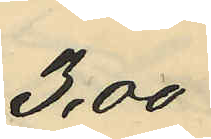 3,00
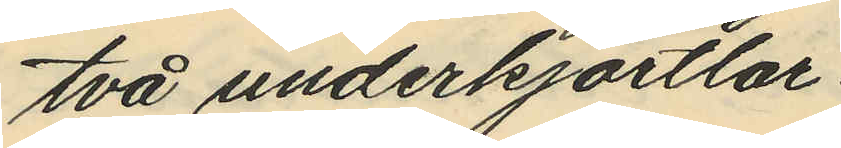två underkjortlar
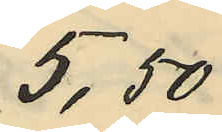 5,50
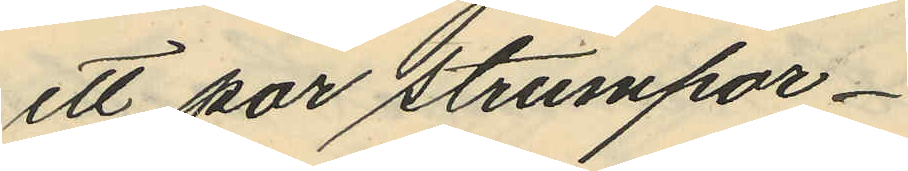ett par strumpor
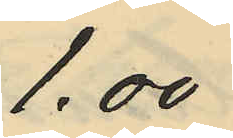 1.00
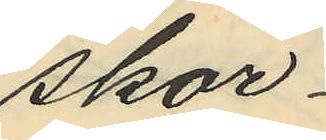skor
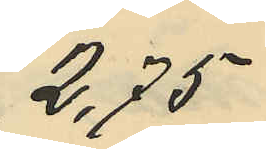 2,75
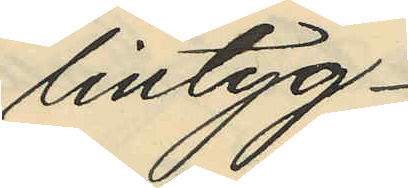lintyg
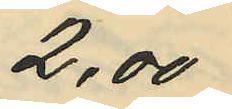2,00
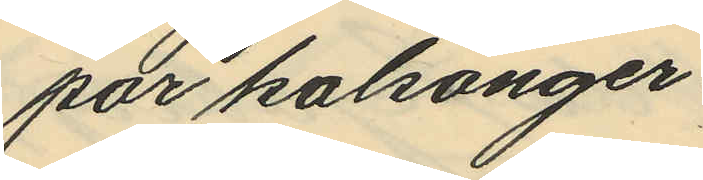par kalsonger
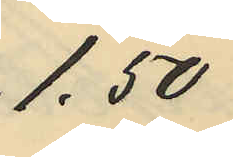 1,50
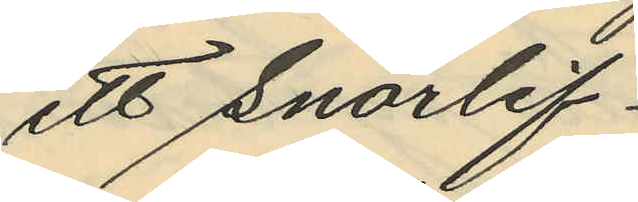ett snörlif
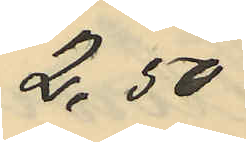 2,50
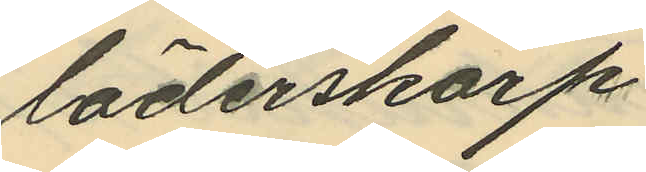läderskärp
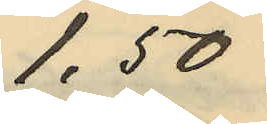 1,50
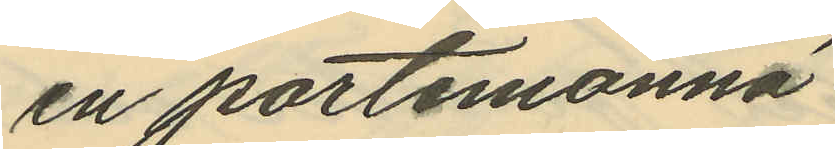en portemonnä
